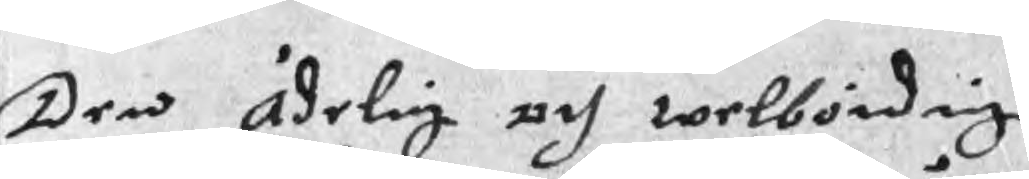Den Ädelig och welbördig
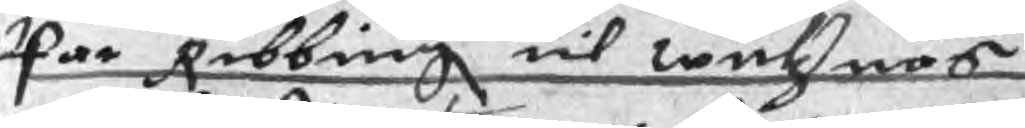Par Ribbing til wuntznäs
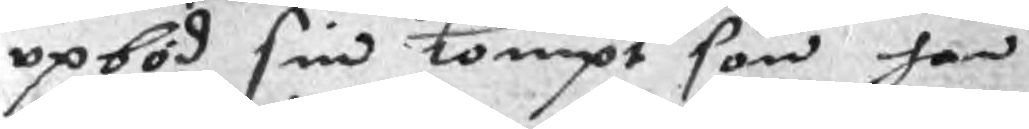opböd sin tompt som han
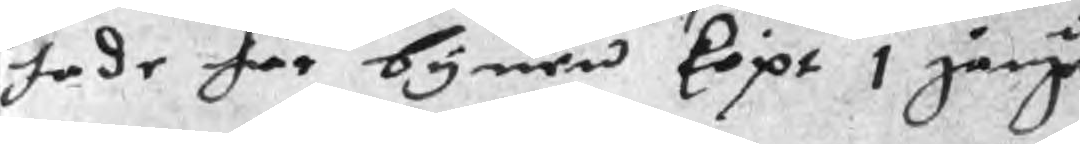hade här bynen köpt 1 gånge
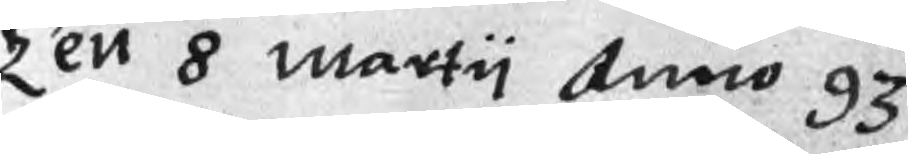Ten 8 marty Anno 93
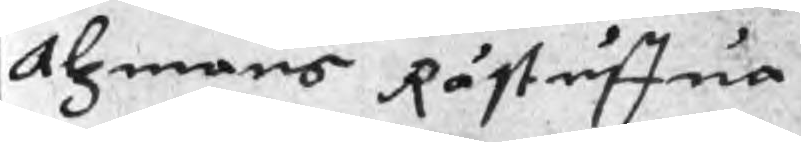Alzmans Råstuffua
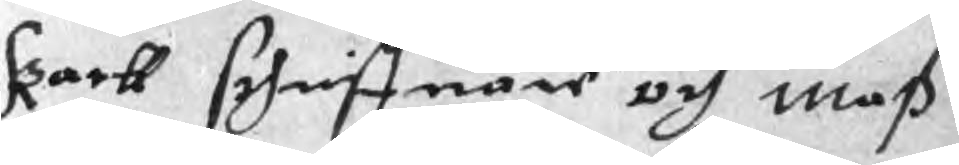kortt schriffuare och maß
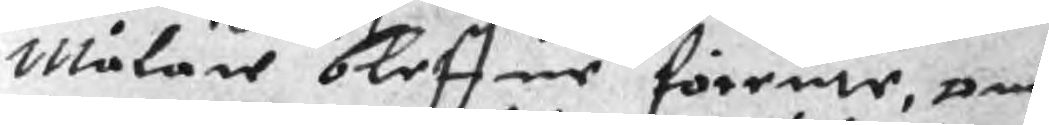Målare bleffue förenne, om
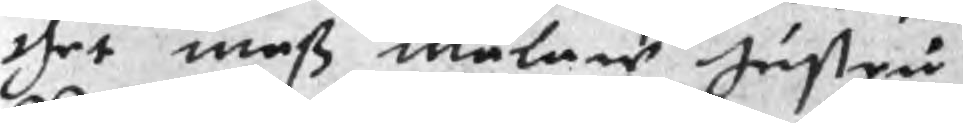thet maß målare hustru
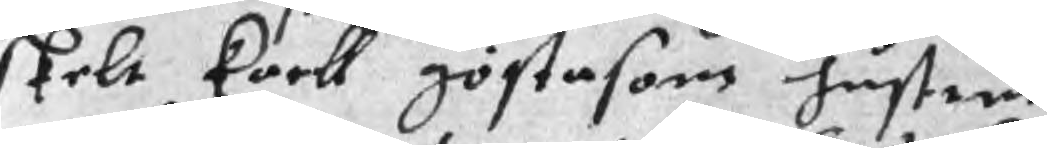skelt kortt göstasons hustrus
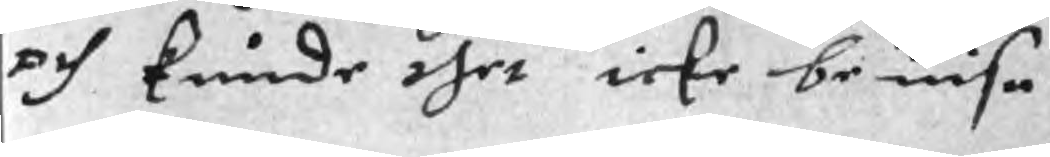och kunde thet icke beuisa
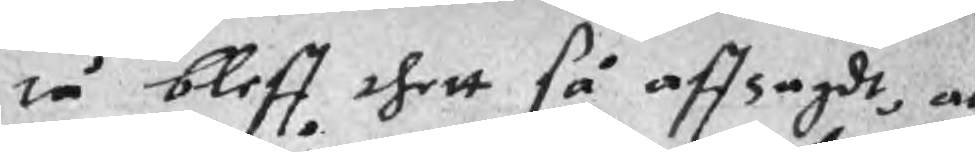tå bleff thett så affsagdt, at
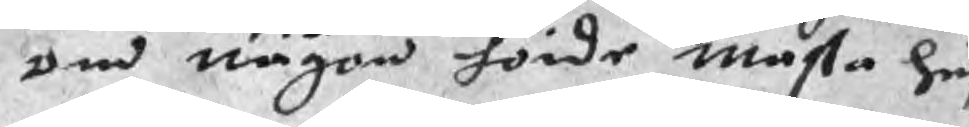om någon hörde masta hus
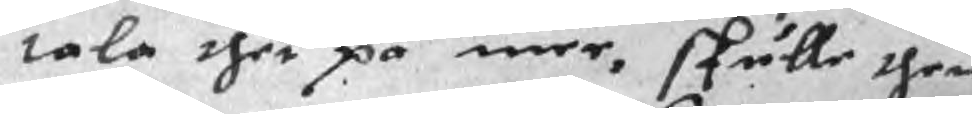tala thet på mer, skulle then
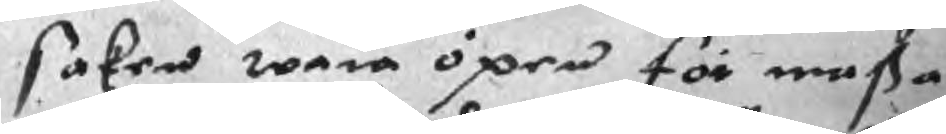saken wara öpen för masta
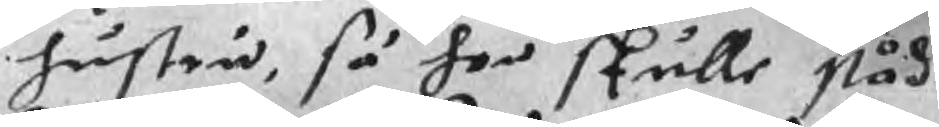hustru, så hon skulle ståd
